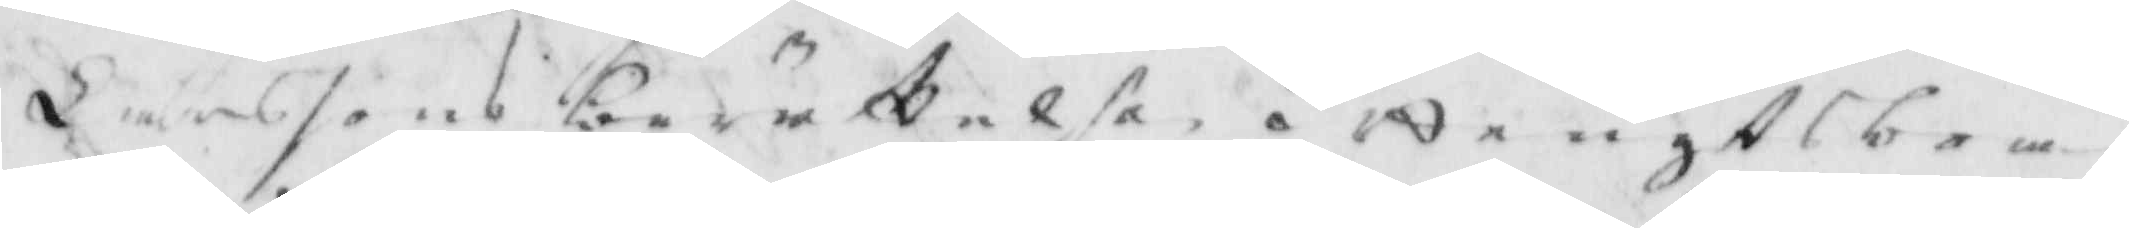Larssons berättelse, i bengts be¬
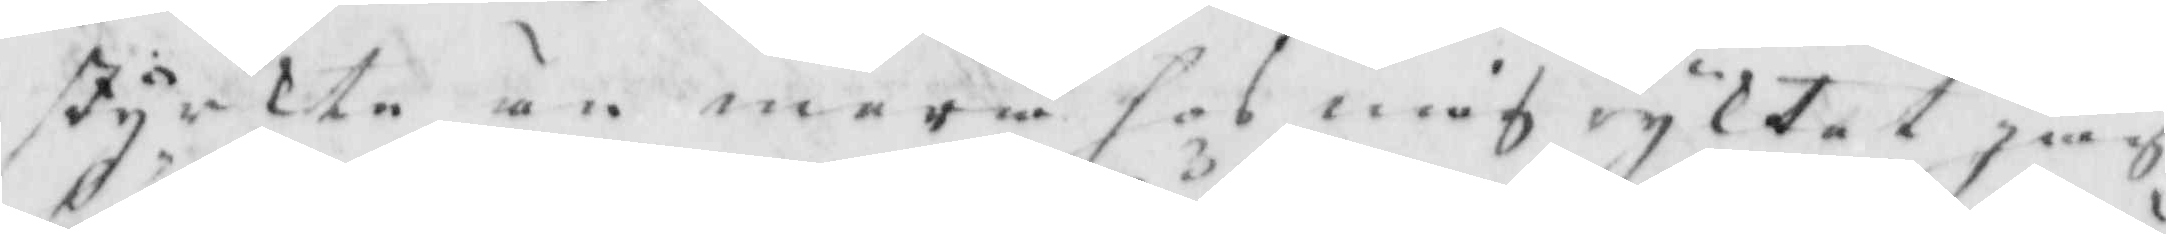styrkte än mera hos mig ryktat jag
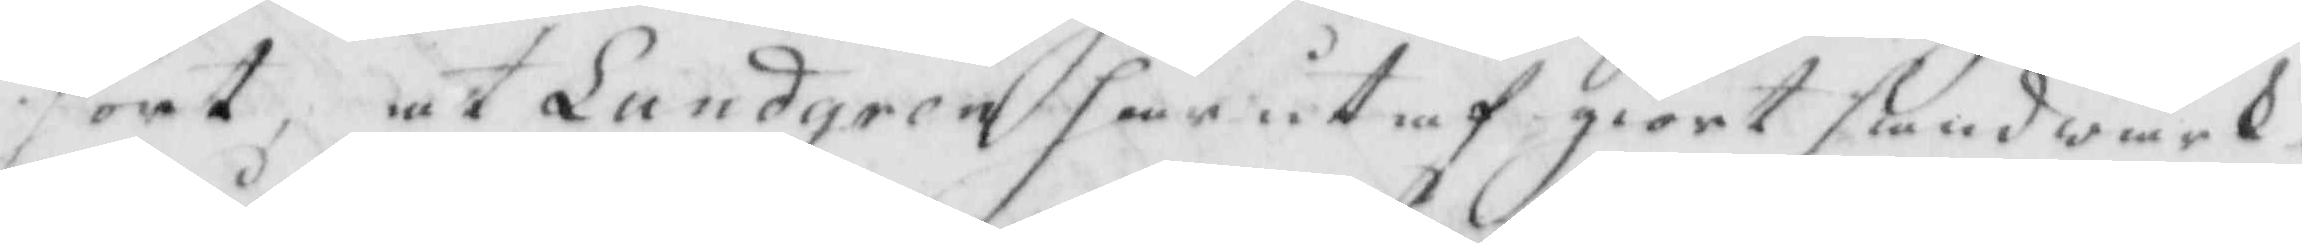hört, at Lundgren här utaf giort handwärk.
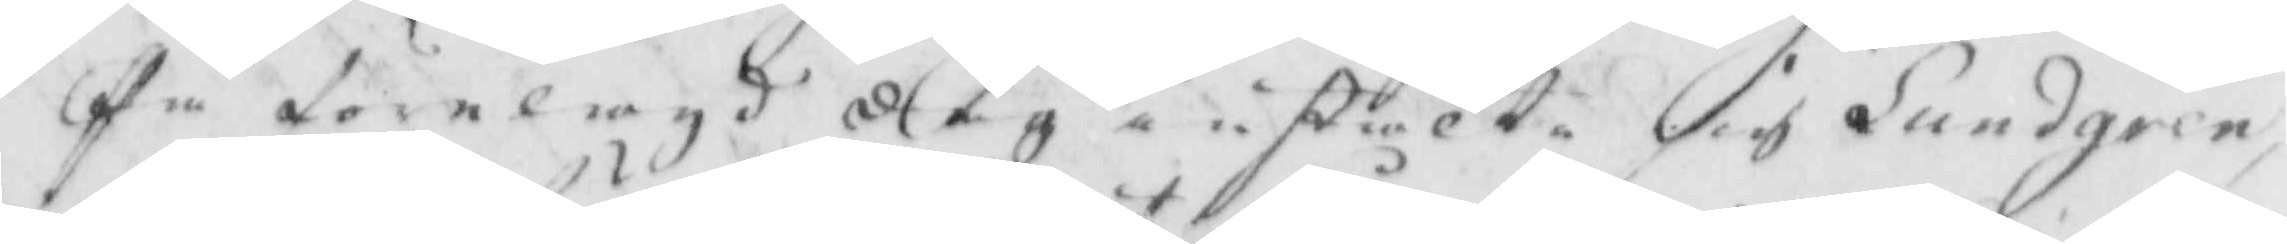På förelagd dag instälte sig Lundgren,
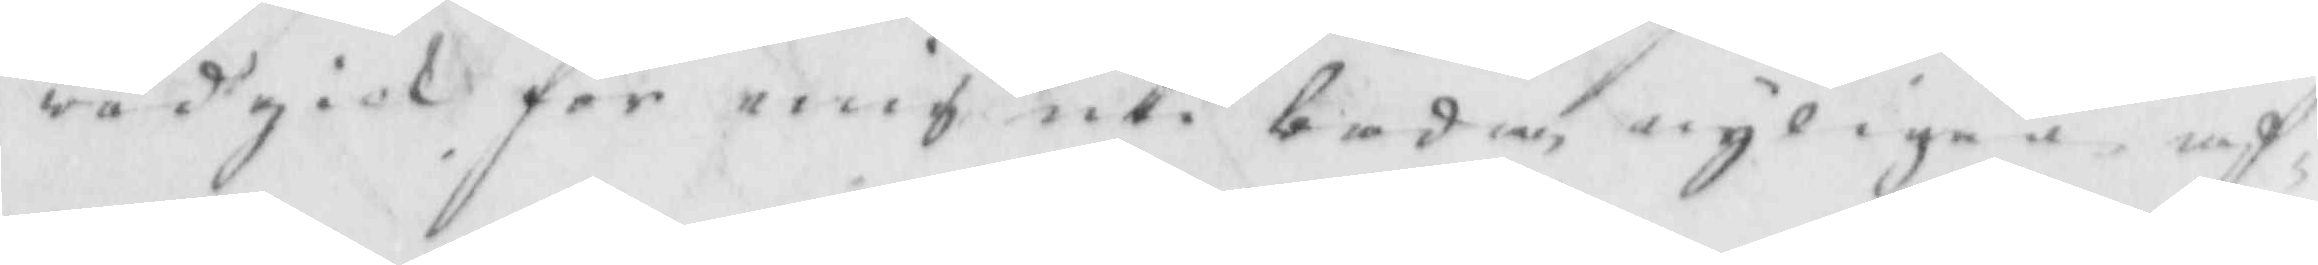wedgick för mig uti båda, nyligen af
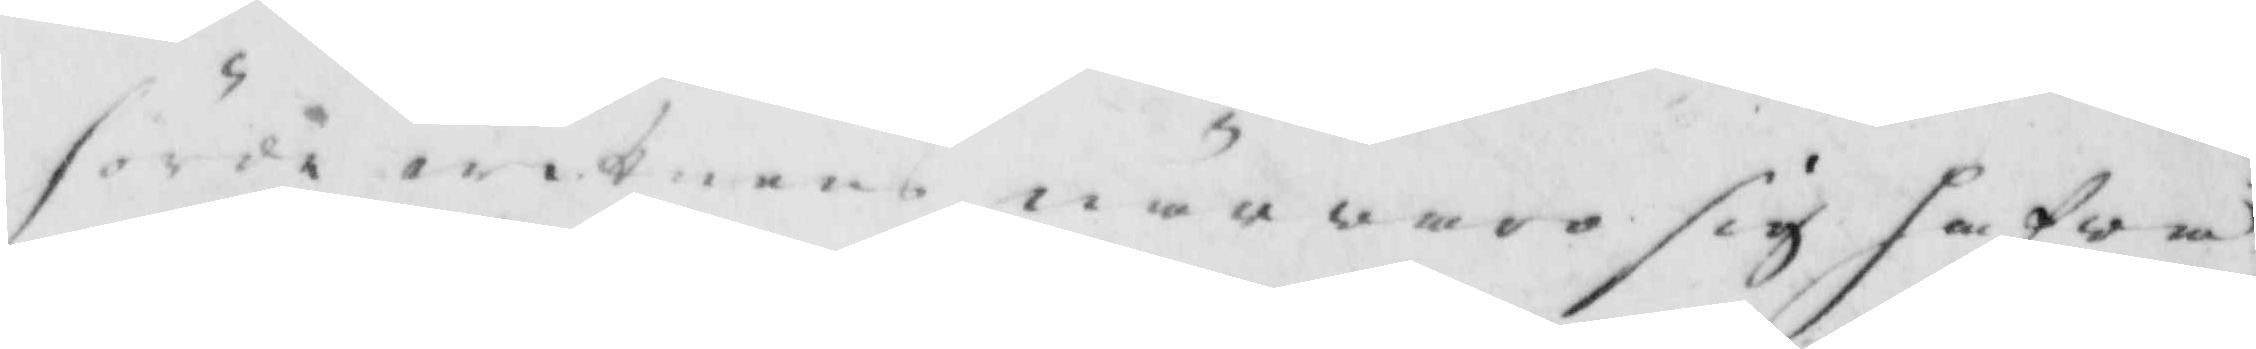för witnens närwaro sig hafwa
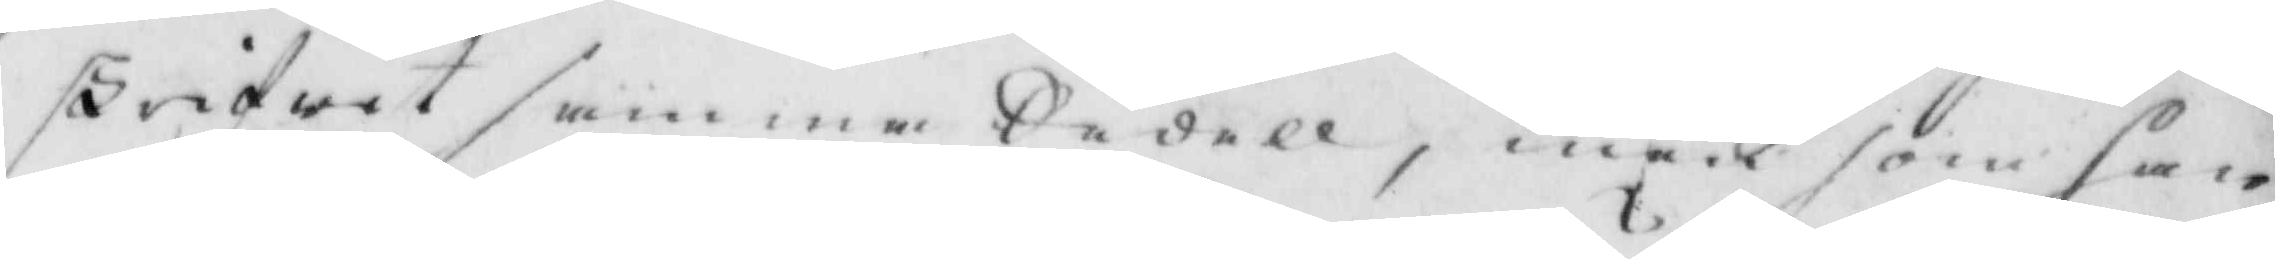skrifwit samma Sedell, men som han
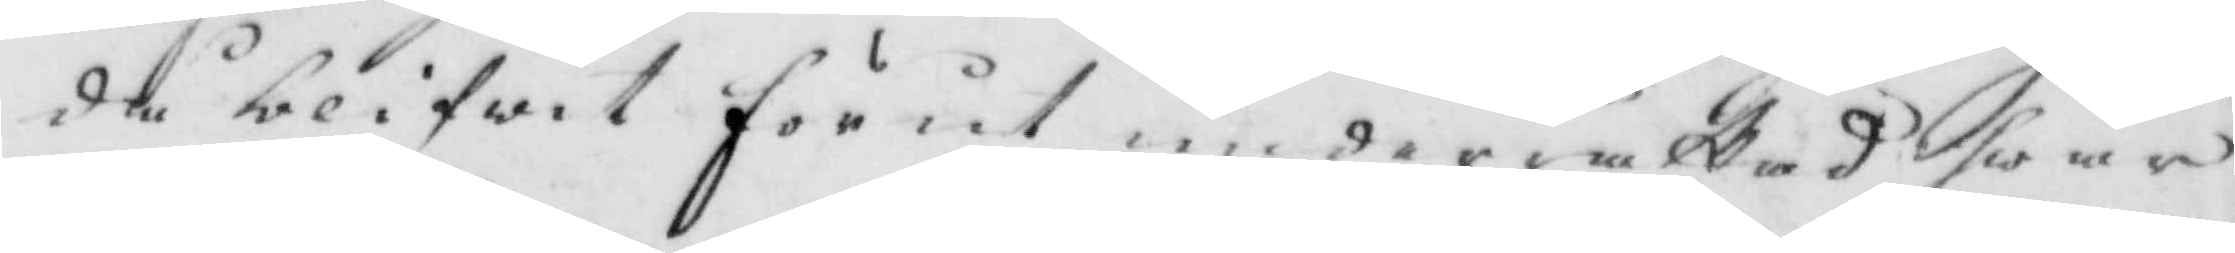då blifwit förut underrättad hwar
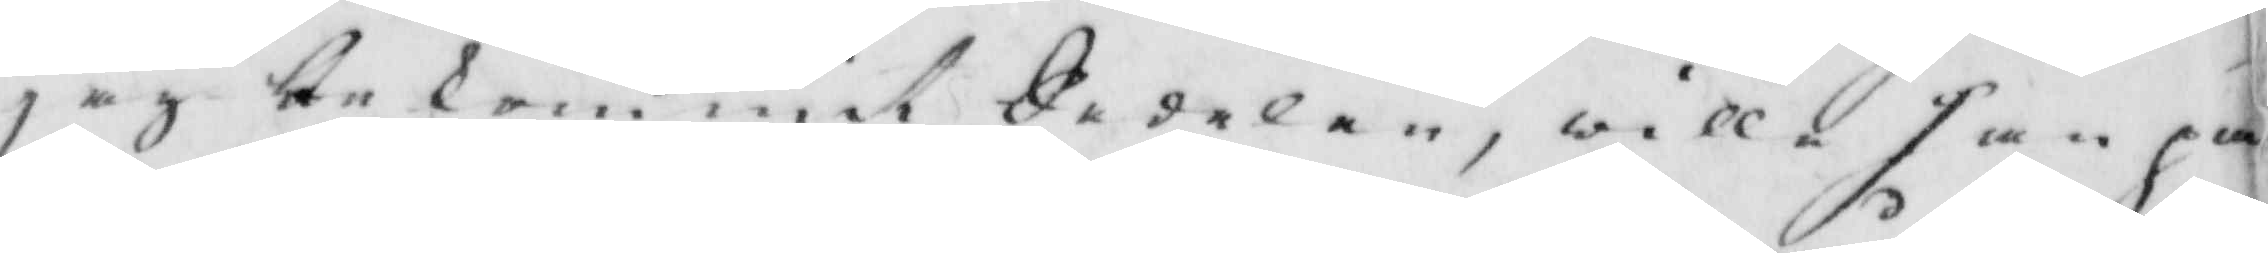jag bekommit Sedelen, will han på
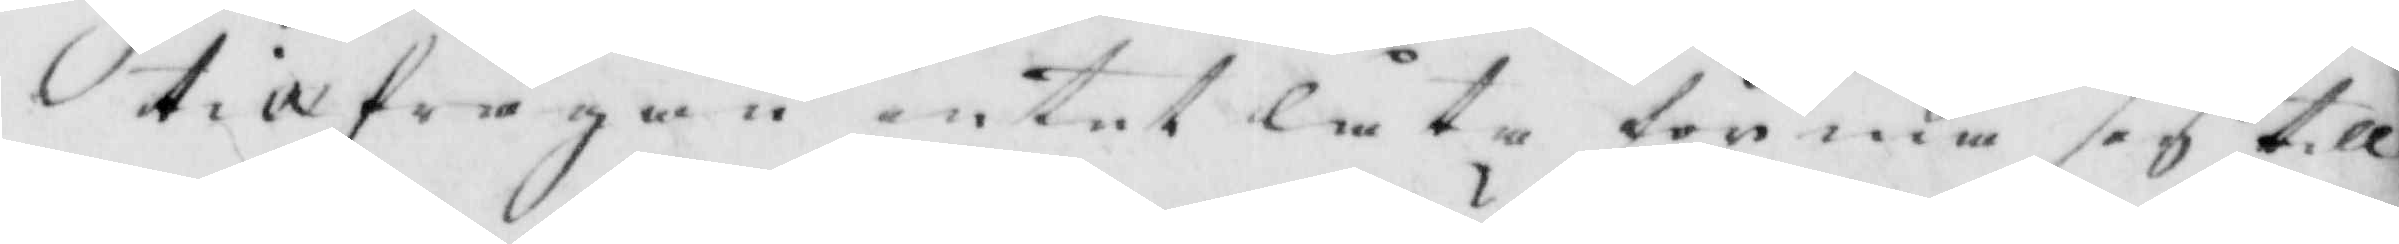tillfrågan intet låta förmå sig till
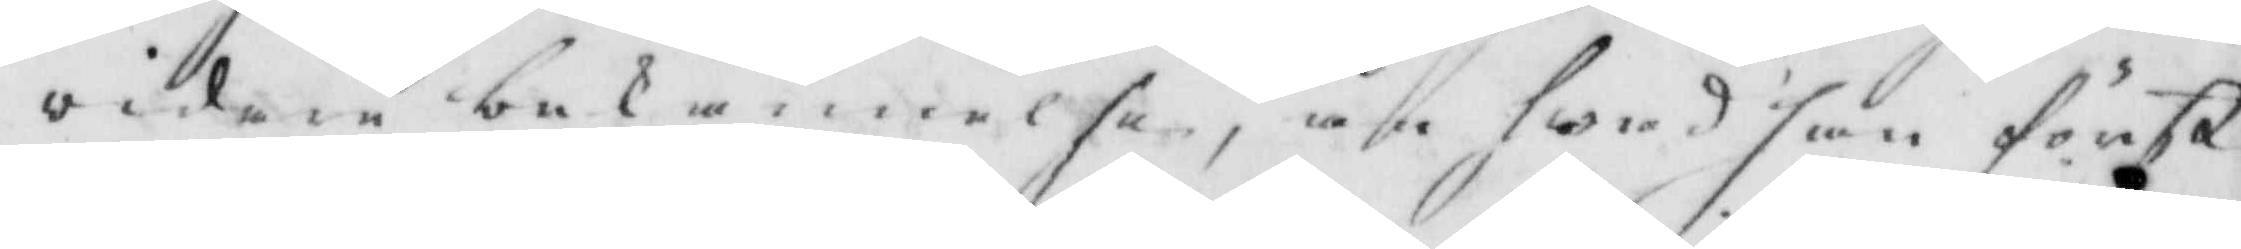vidare bekännelse, än hwad han först
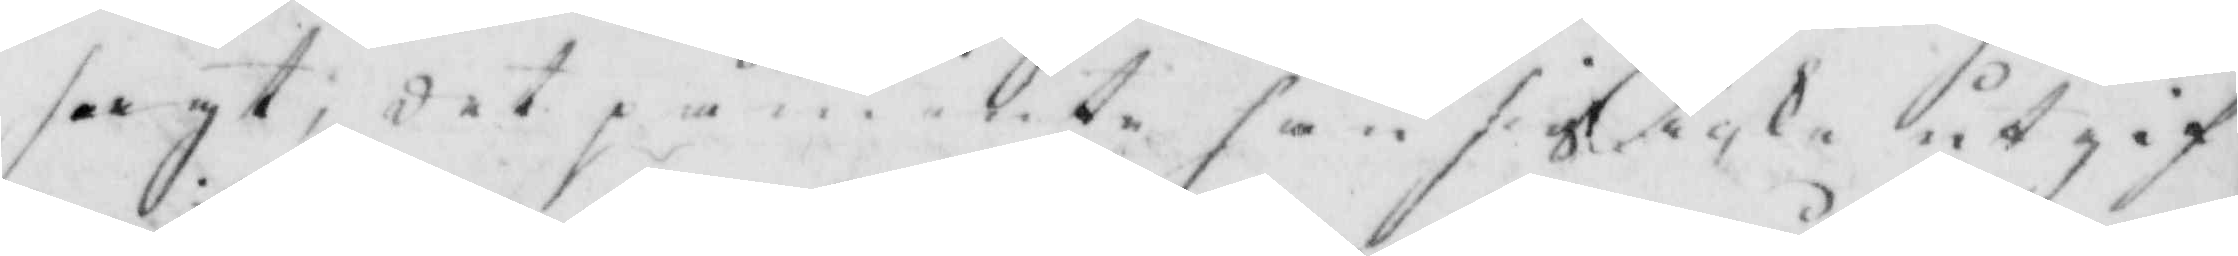sagt, det påminte han sigh icke utgif¬
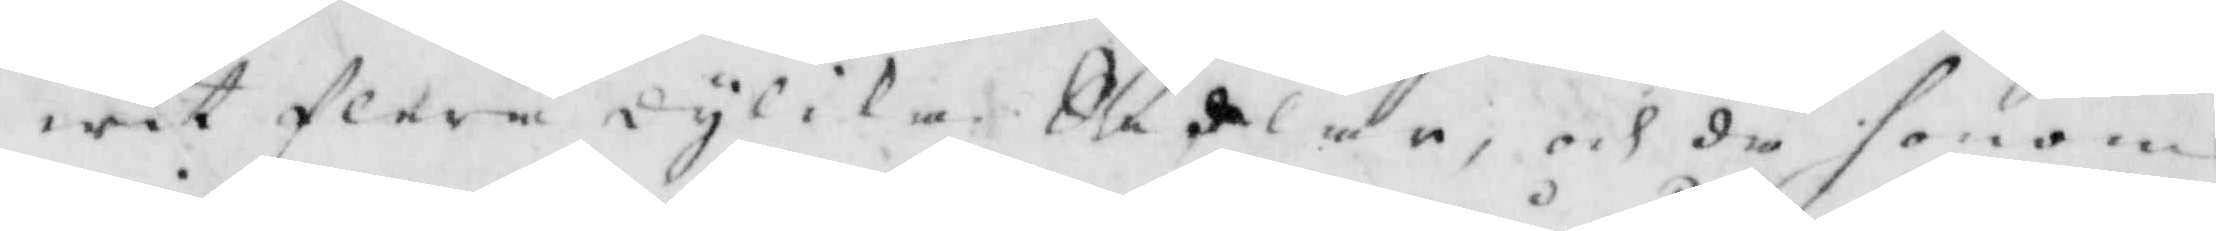wit flere dylika Sedlar, och då honom
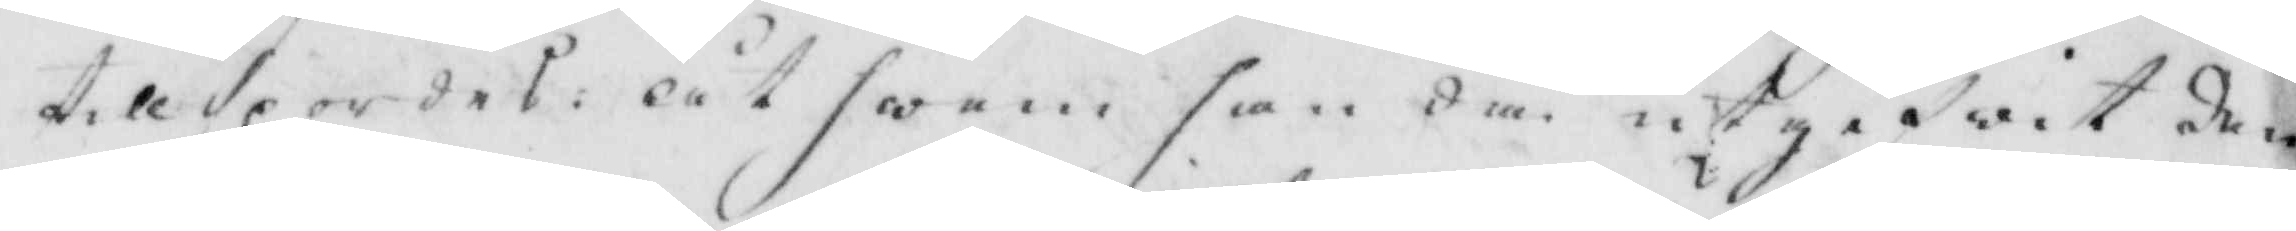tillspordes, åt hwem han då utgifwit den¬
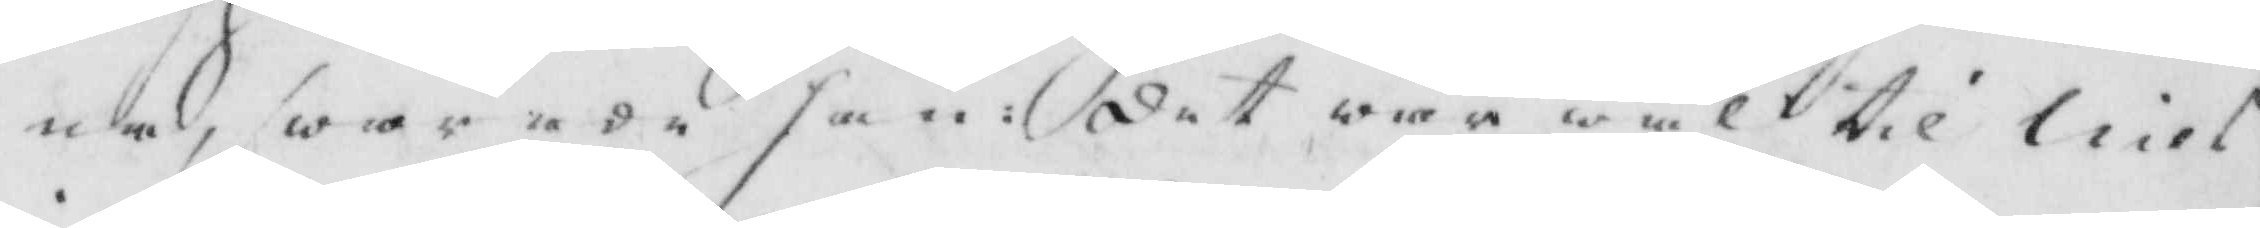ne, swarade ha: det war wäl til Nils
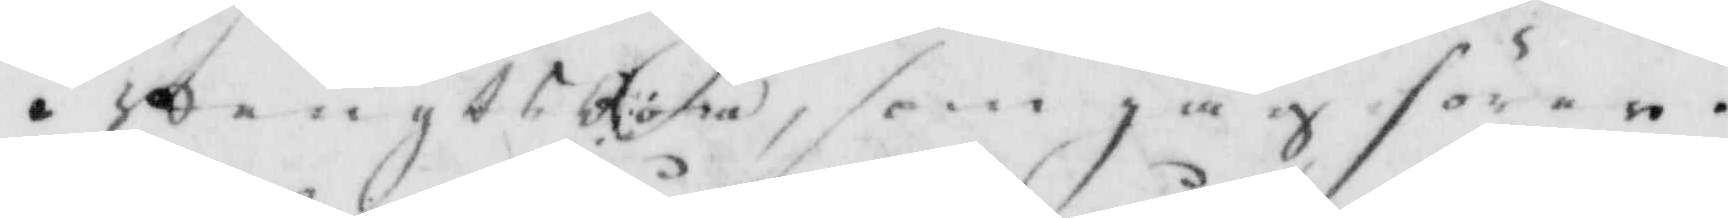i Bengts Röra, som jag förer.
